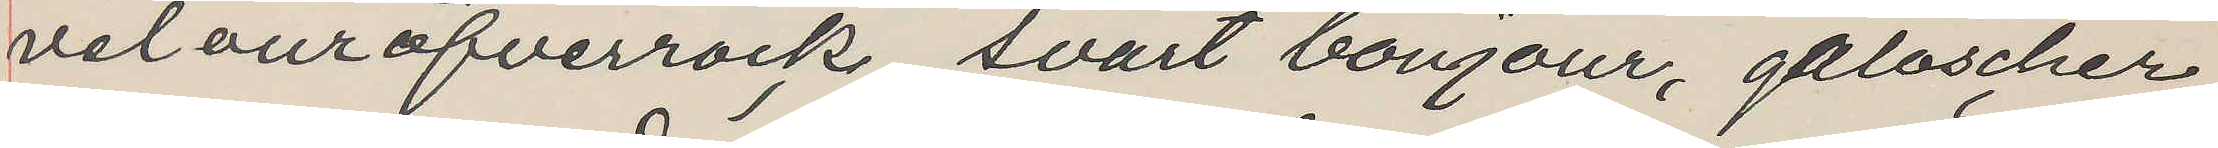velouröfverrock, svart bonjour, galoscher,
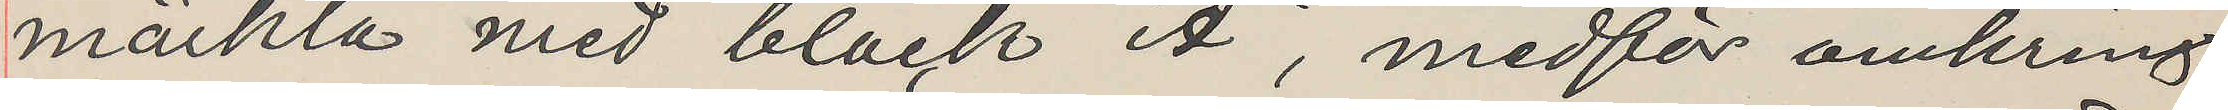märkta med bläck "A", medför omkring
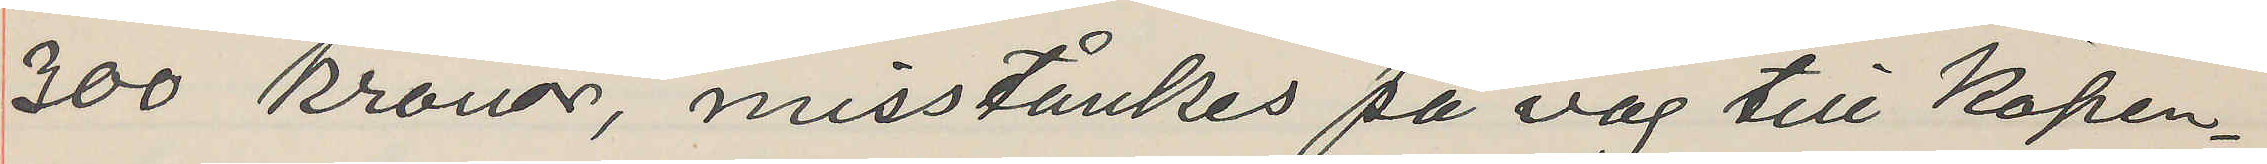300 kronor, misstånkes på väg till Köpen¬
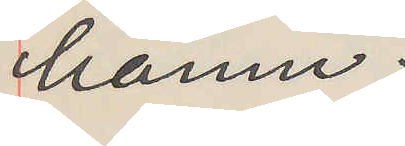hamn.
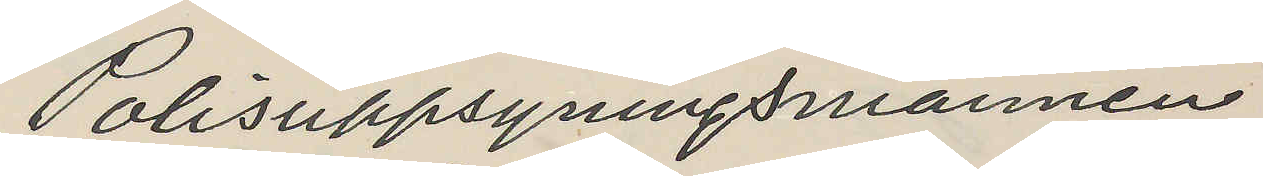Polisuppsyningsmannen
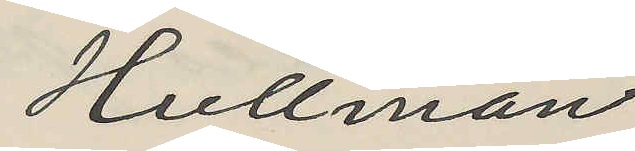Hullman
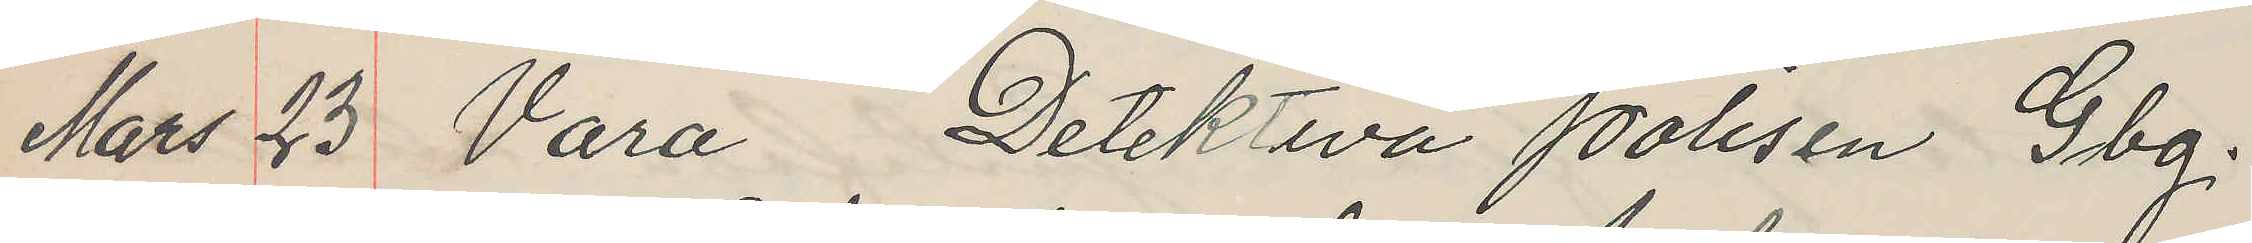Mars 23 Vara Detektiva Polisen Gbg.
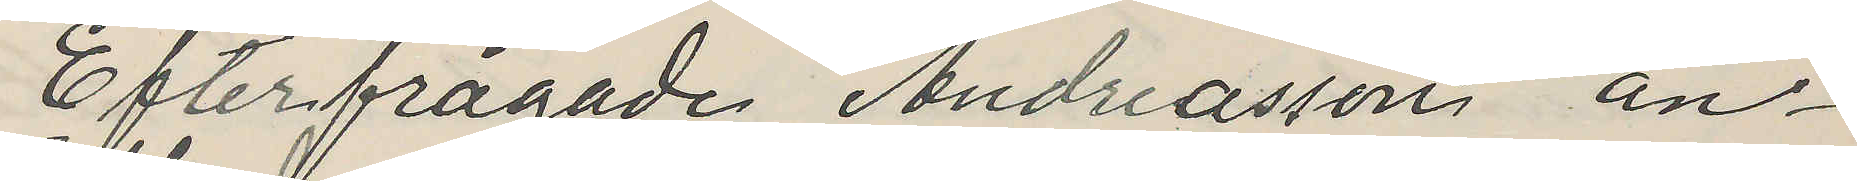Efterfrågade Andreasson an¬
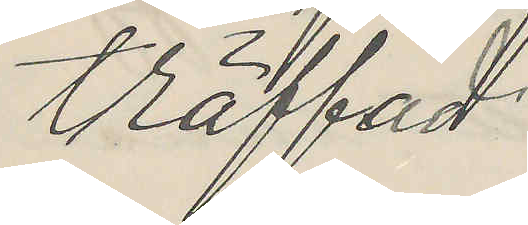träffad
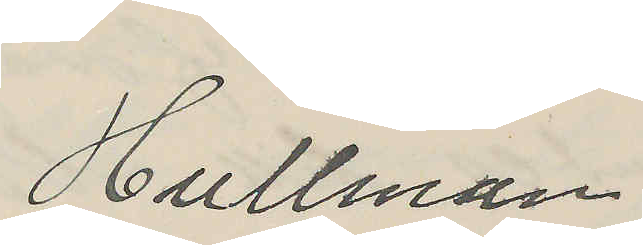Hullman
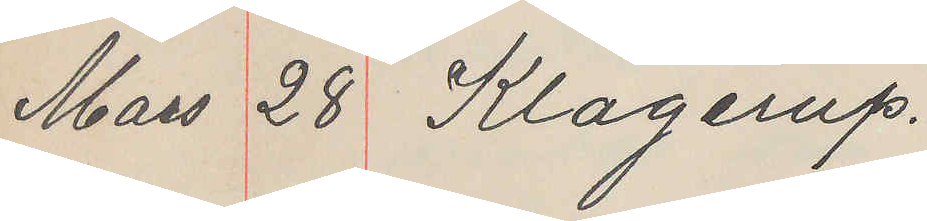Mars 28 Klagerup.
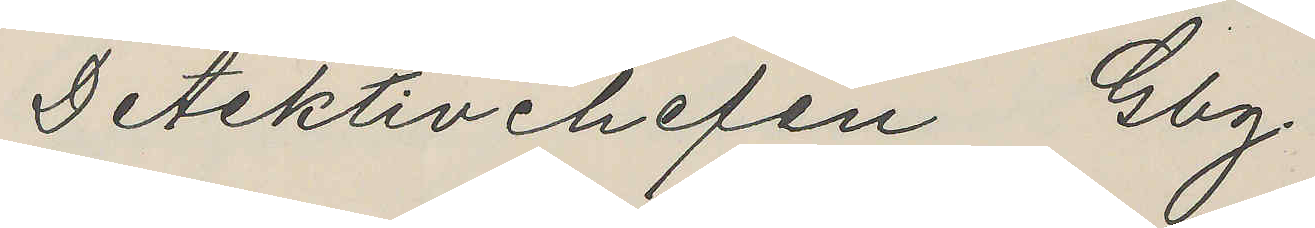Detektivchefen Gbg.
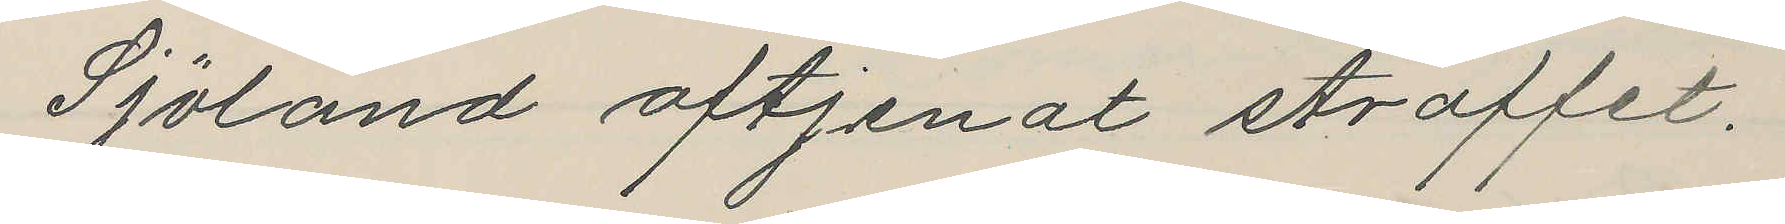Sjöland aftjenat straffet.
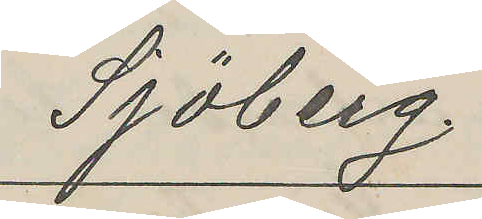Sjöberg
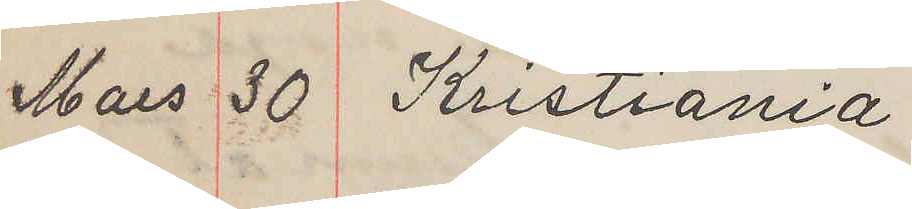Mars 30 Kristiania
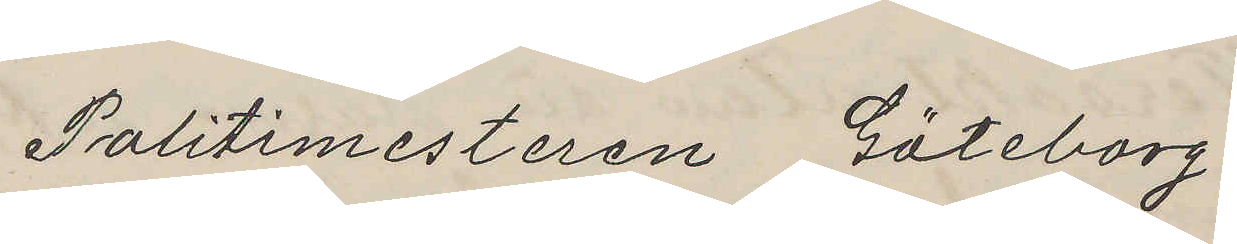Politimesteren Göteborg
